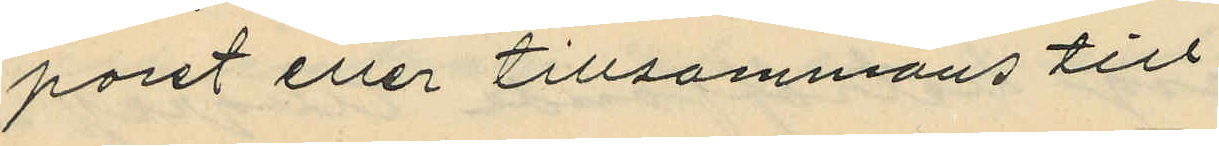paret eller tillsammans till
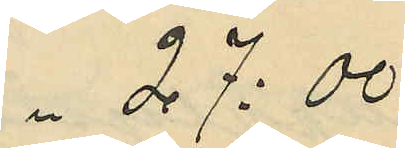27:00
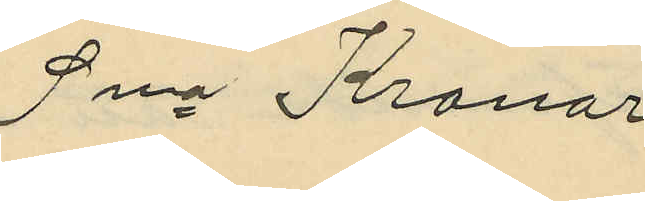Sma Kronor
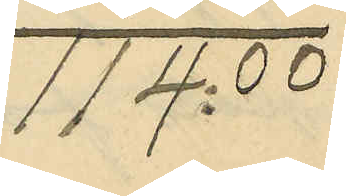114:00
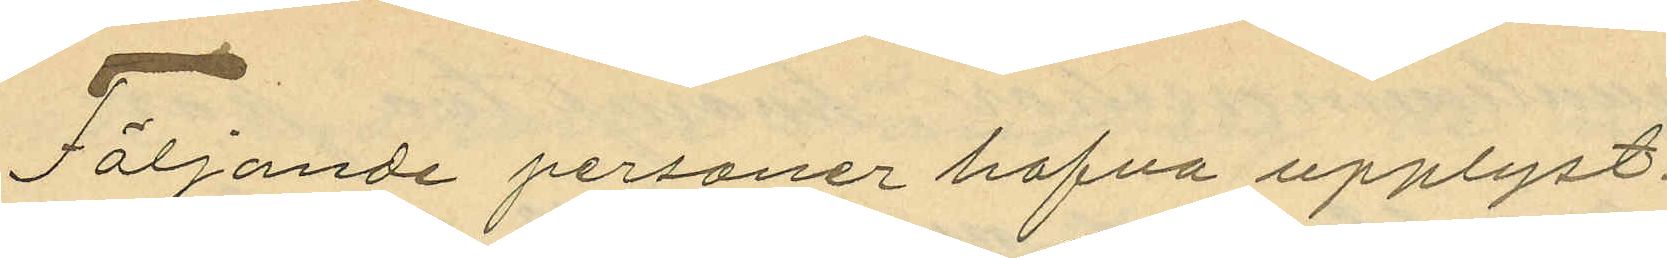Följande personer hafva upplyst:
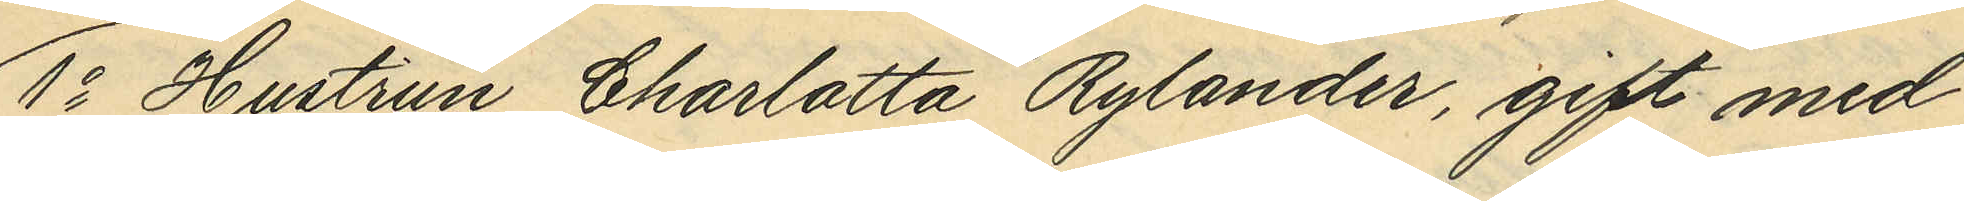1o Hustrun Charlotta Rylander, gift med
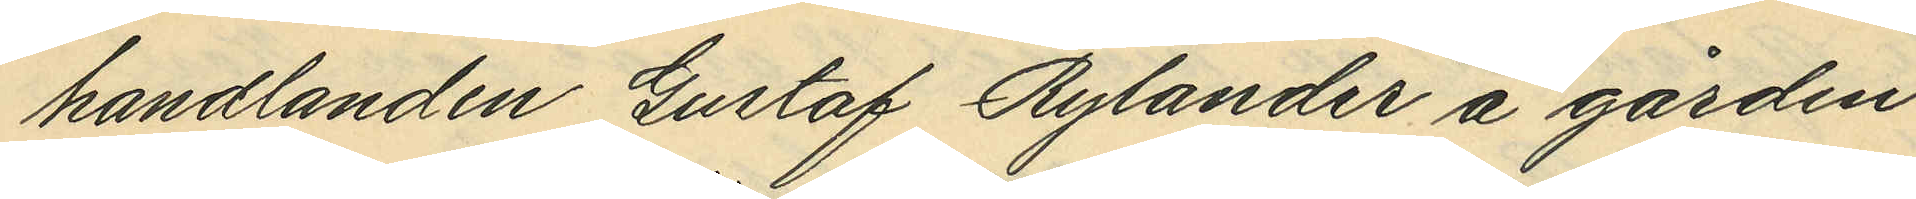handlanden Gustaf Rylander å gården
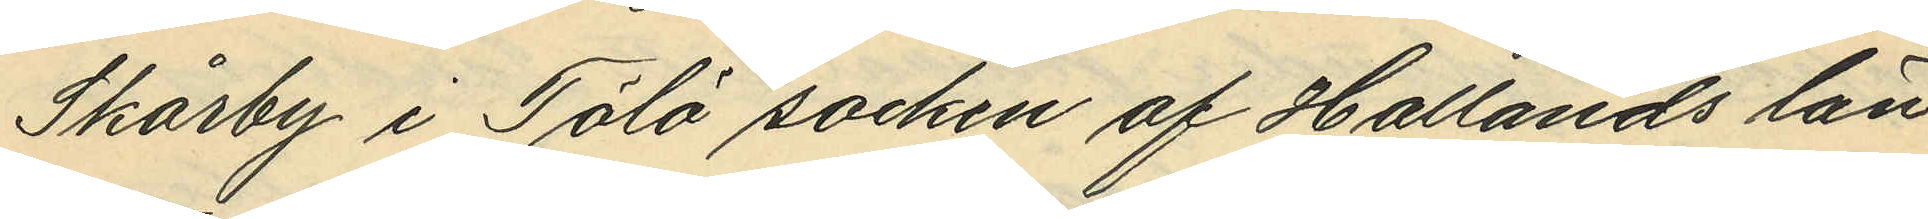Skårby i Tölö socken af Hallands län,
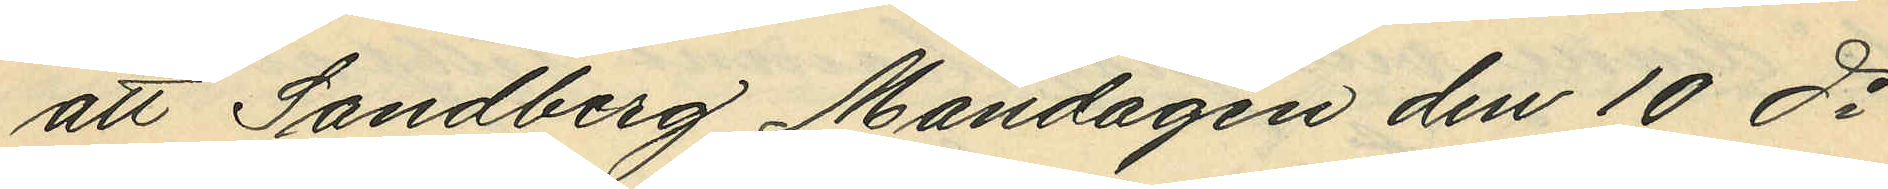att Sandberg Måndagen den 10 ds
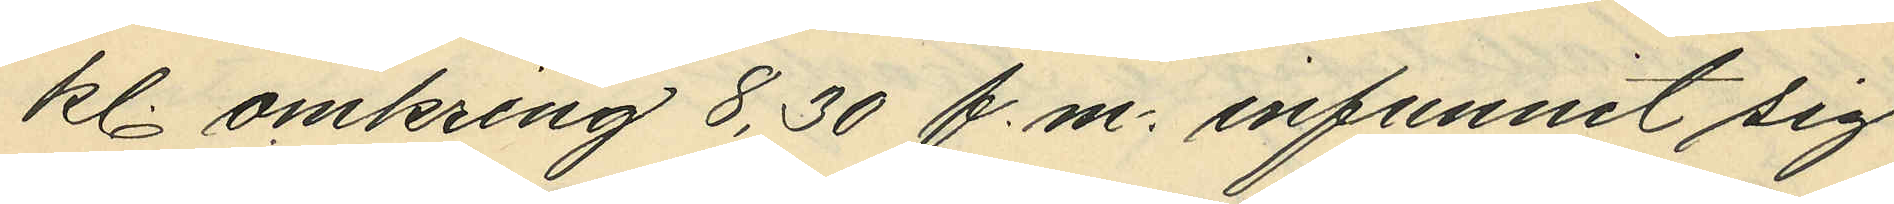kl. omkring 8,30 f.m. infunnit sig
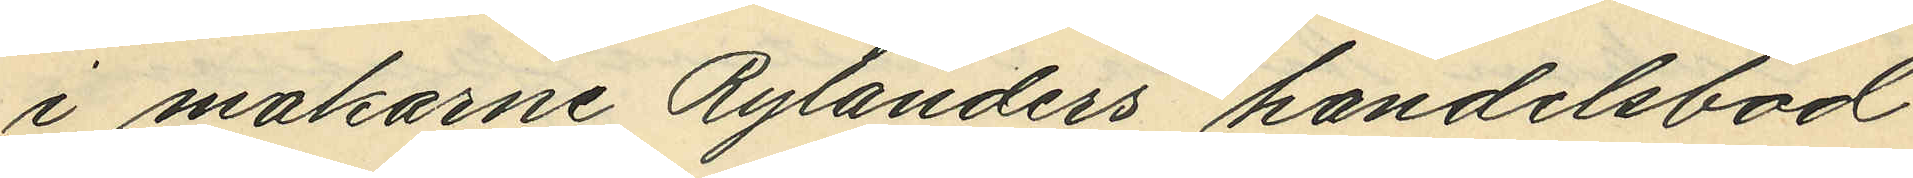i makarne Rylanders handelsbod
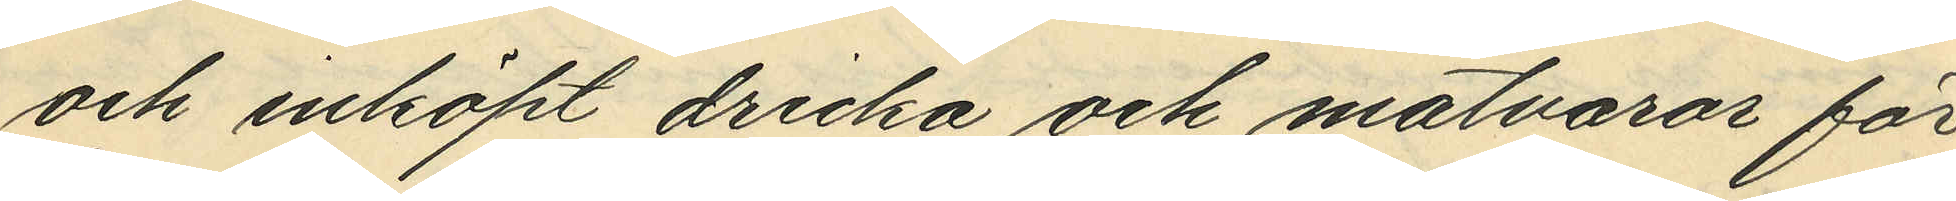och inköpt dricka och matvaror för
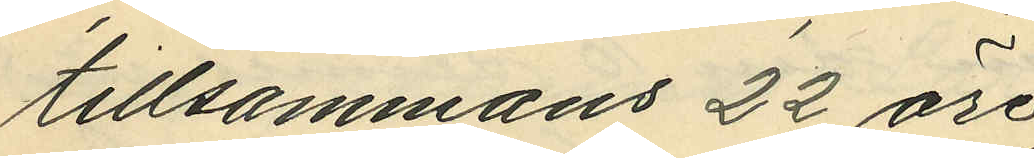tillsammans 22 öre;
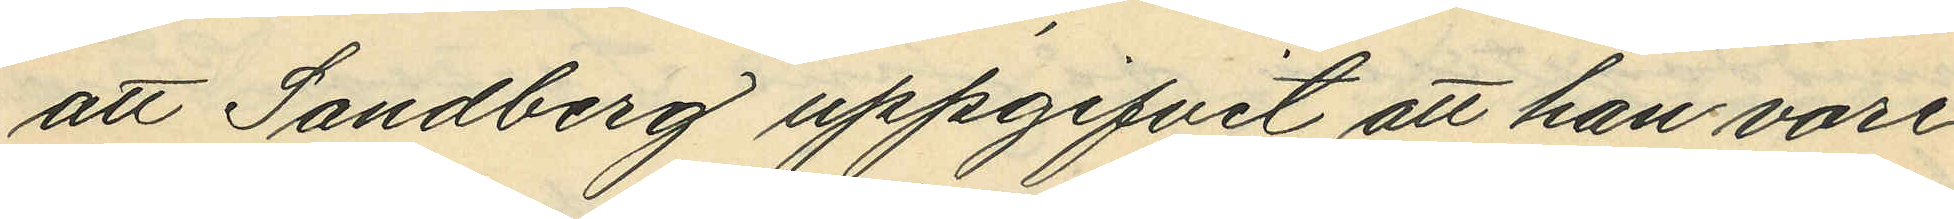att Sandberg uppgifvit att han vore
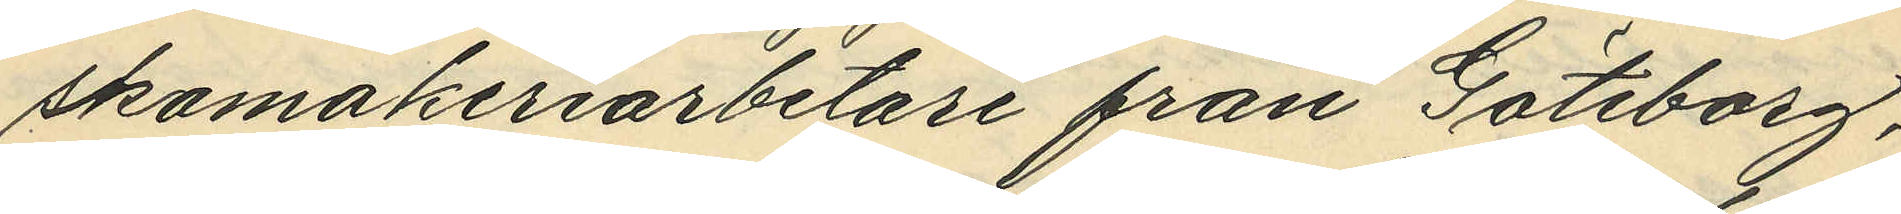skomakeriarbetare från Göteborg,
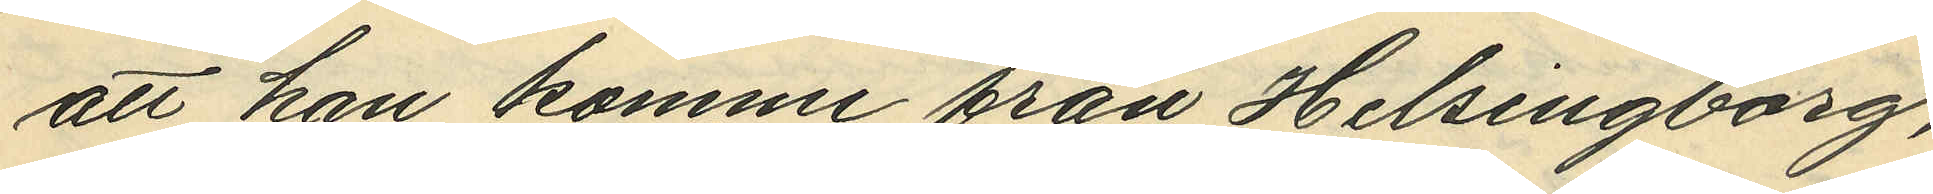att han komme från Helsingborg,
